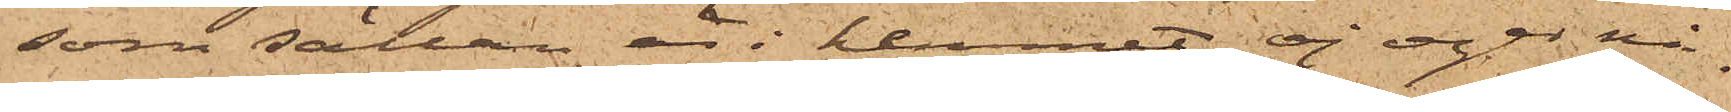som sällan är i hemmet, ej eger nå¬
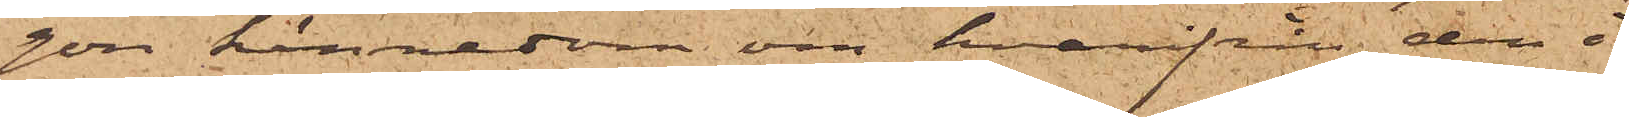gon kännedom om hvarifrån den i
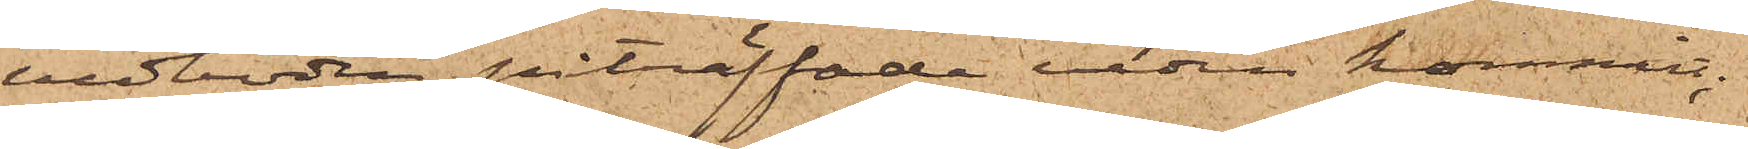vedboden påträffade veden kommit;
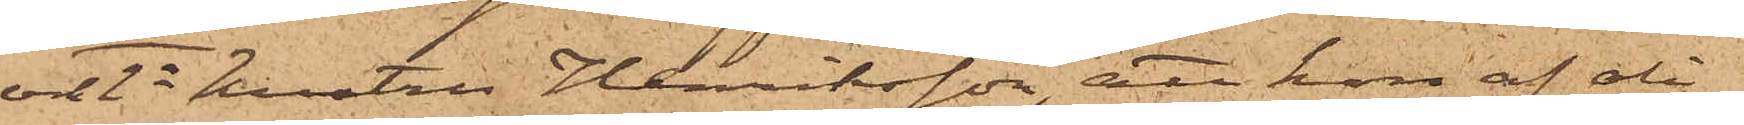och 2o hustru Henriksson, att hon af oli¬
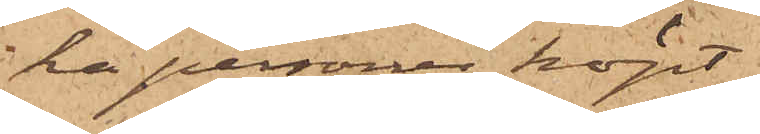ka personer köpt
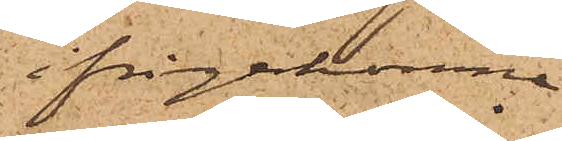ifrågakomne
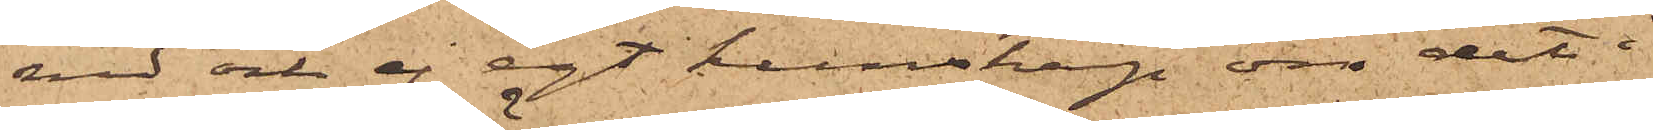ved och ej egt kunskap om det i
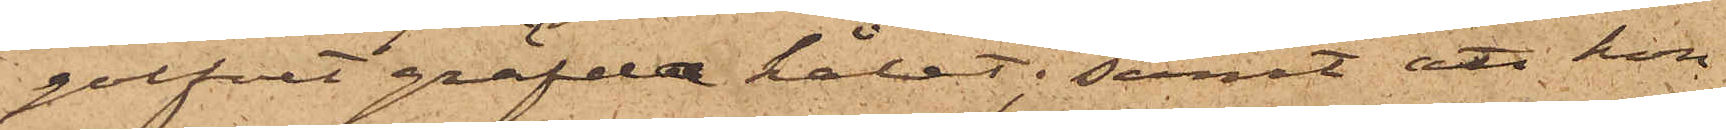golfvet gräfde hålet; samt att hon
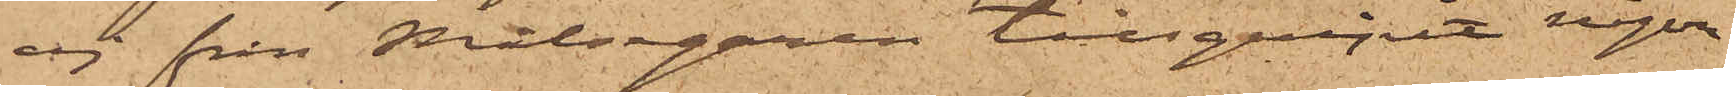ej från Målsegaren tillgripit någon
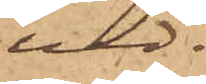ved.
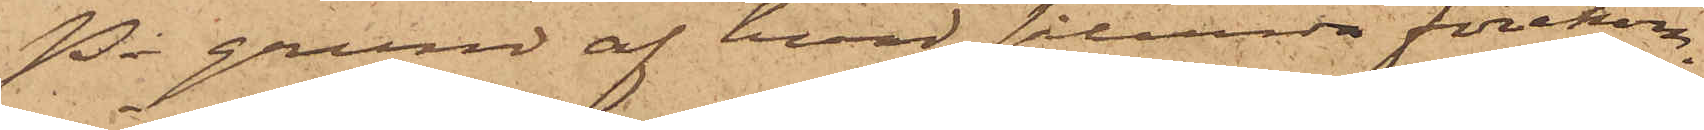På grund af hvad sålunda förekom¬
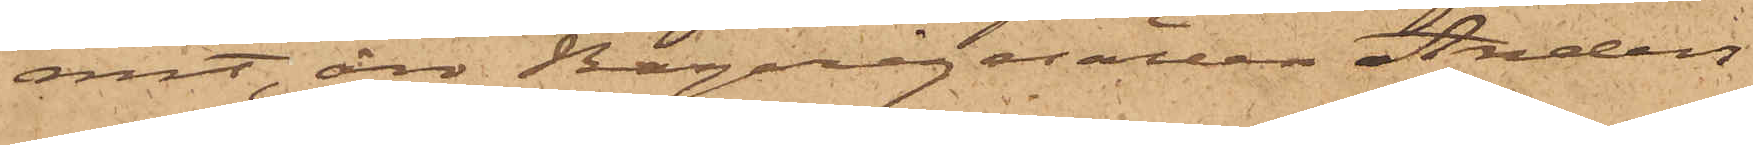mit, äro Bagerigesällen Anders
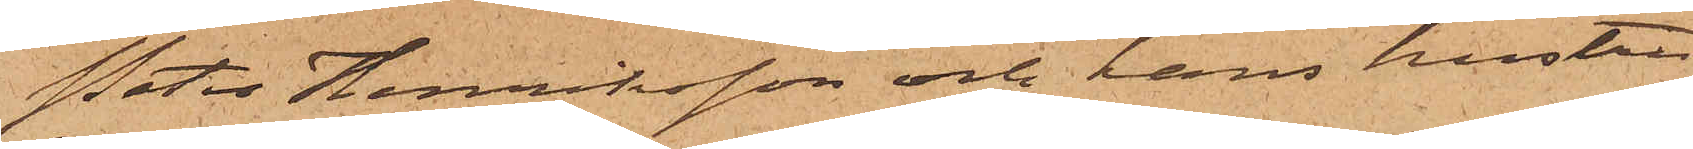Peter Henriksson och hans hustru
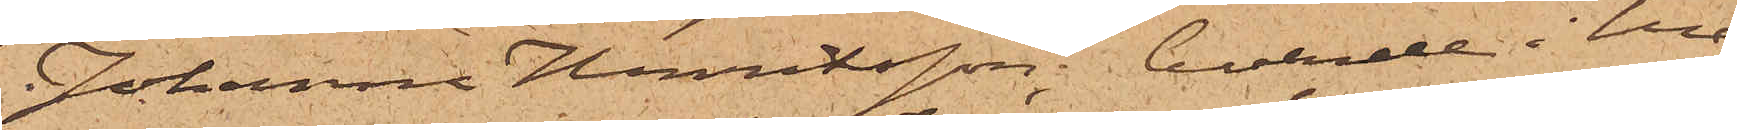Johanna Henriksson, boende i hus¬
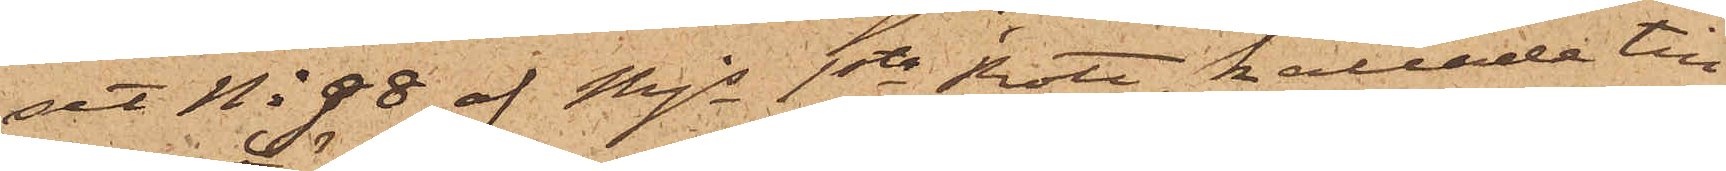set No 98 af Mjs 1sta Rote, kallade till
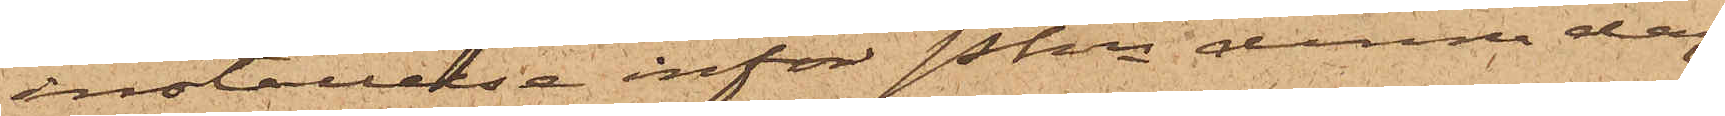inställelse inför Pkn denna dag.
